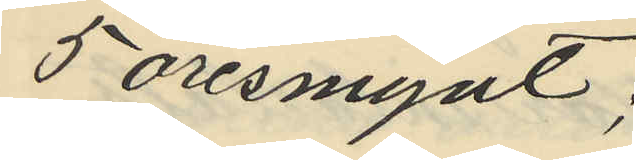5 öresmynt;
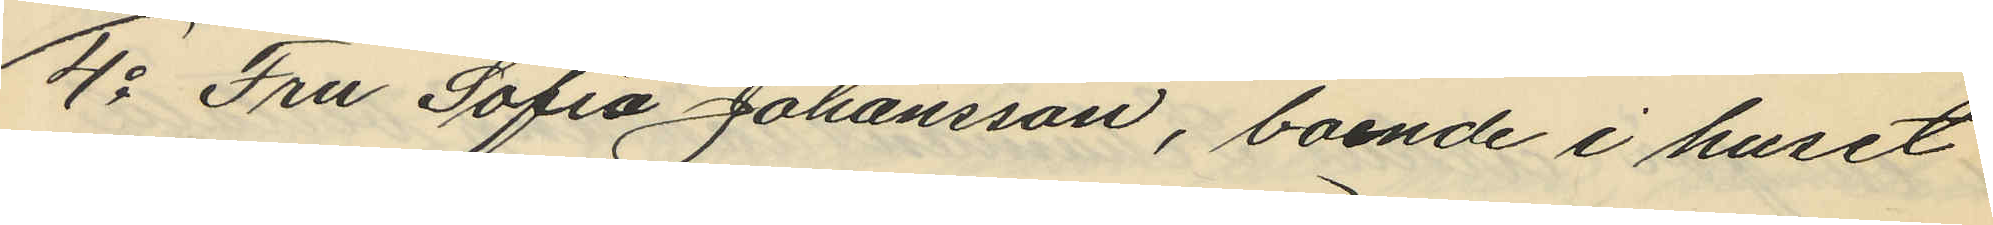4o Fru Sofia Johansson, boende i huset
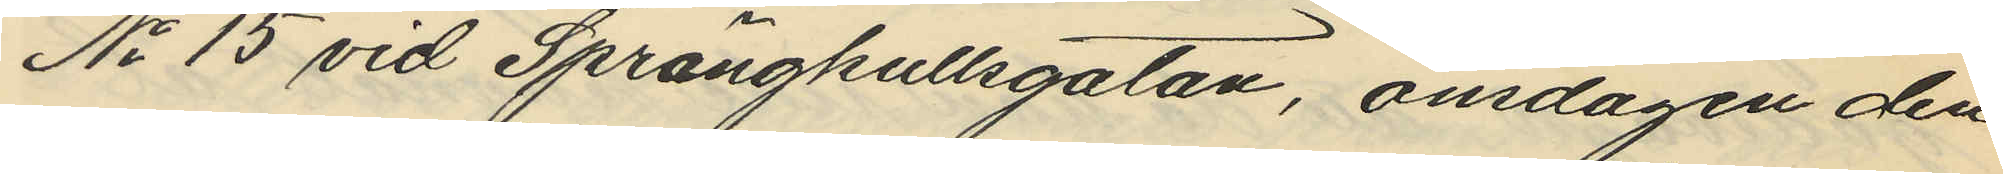No 15 vid Sprängkullsgatan, onsdagen den
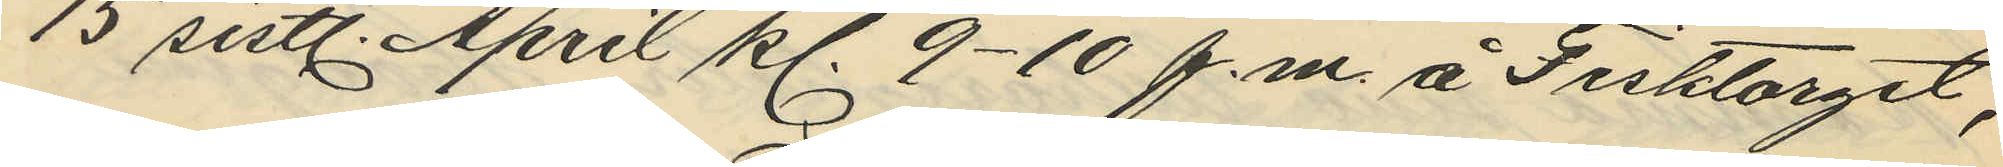15 sistl. April kl. 9-10 f.m. å Fisktorget,
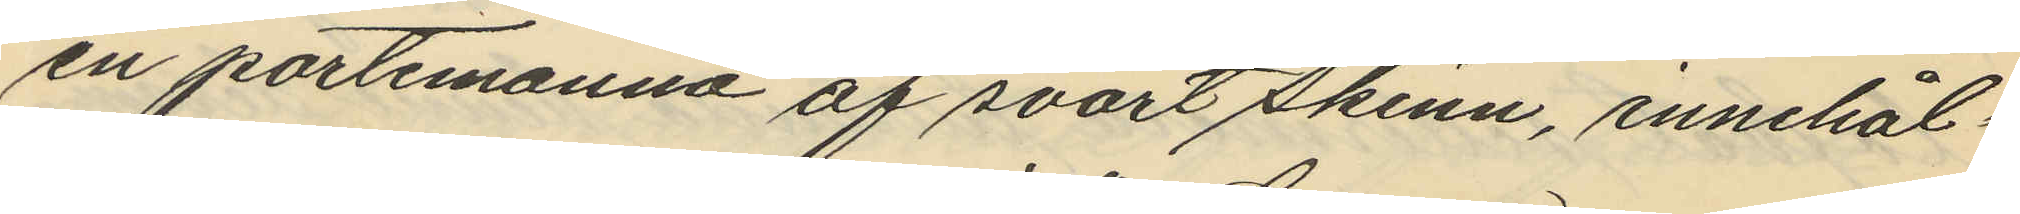en portemonnä af svart skinn, innehål¬
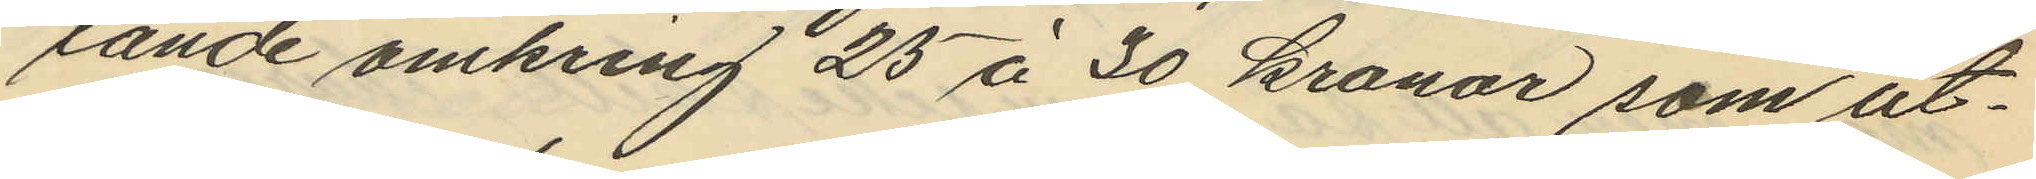lande omkring 25 à 30 kronor som ut¬
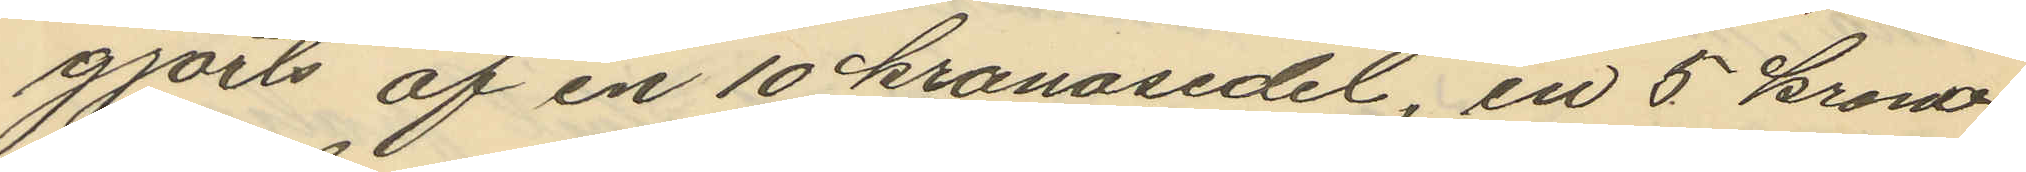gjorts af en 10 kronosedel, en 5 krono¬
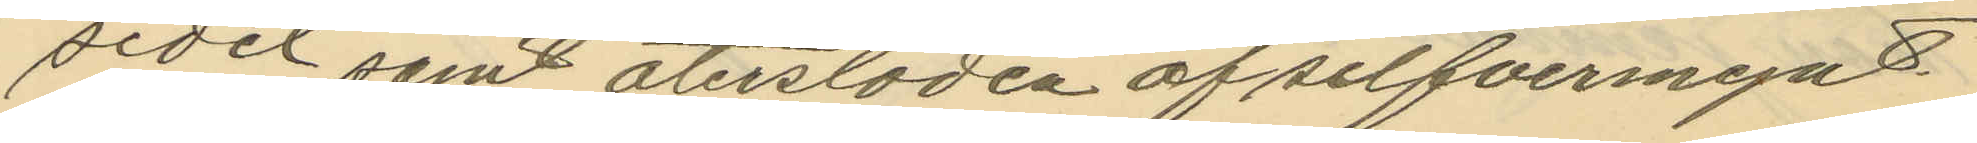sedel samt återstoden af silfvermynt.
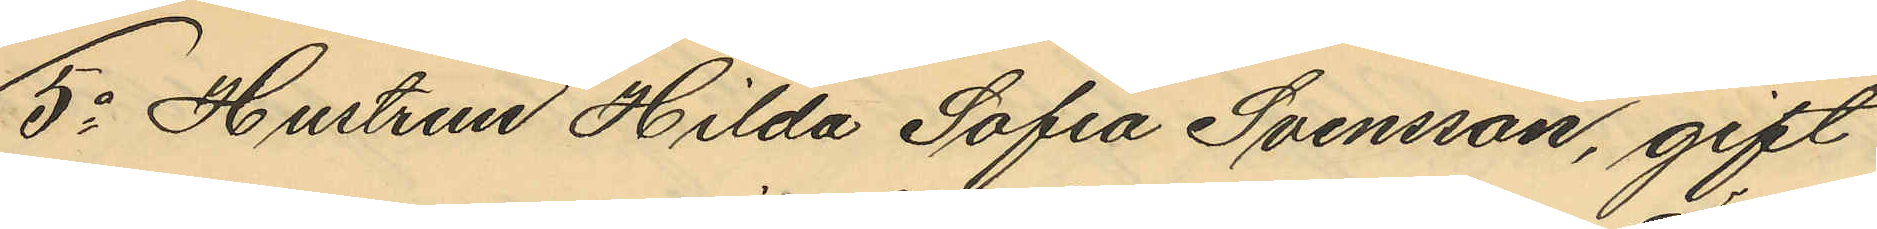5o Hustrun Hilda Sofia Svensson, gift
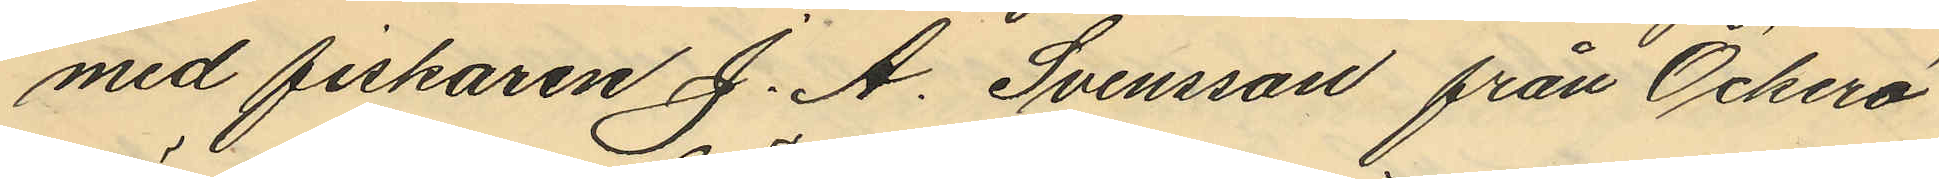med fiskaren J. A. Svensson från Öckerö
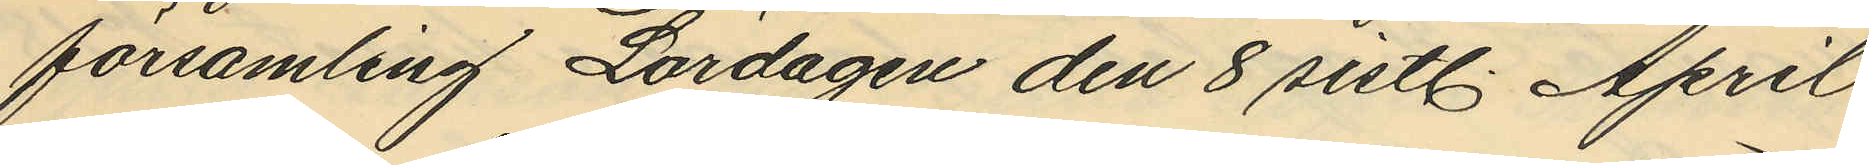församling Lördagen den 8 sistl. April
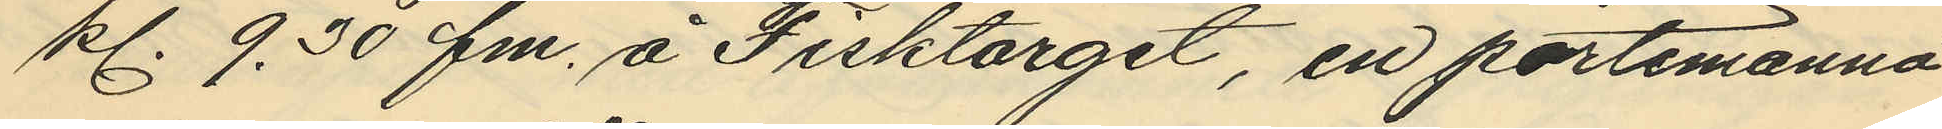kl. 9.30 fm. å Fisktorget, en portemonnä
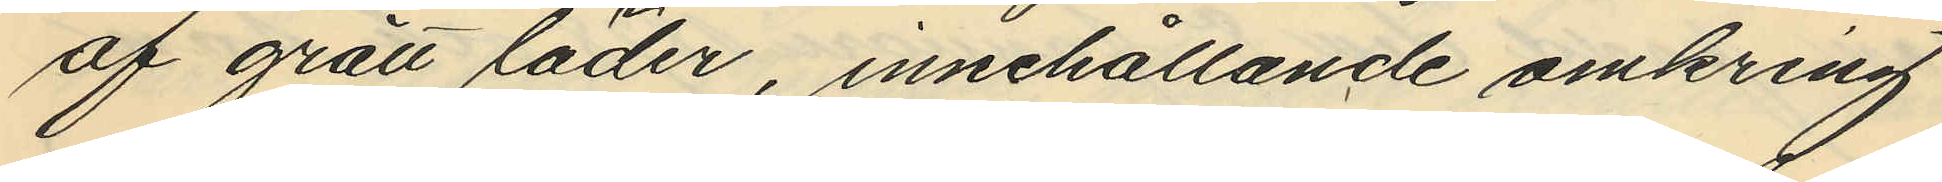af grått läder, innehållande omkring
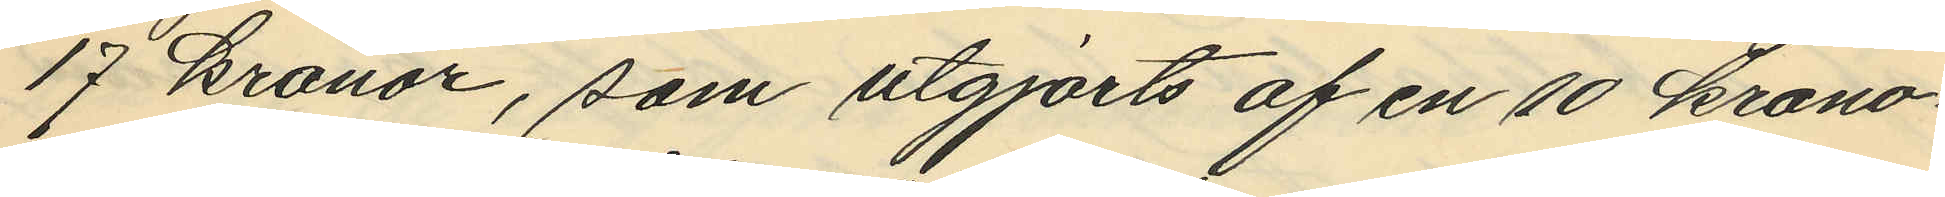17 kronor, som utgjorts af en 10 krono¬
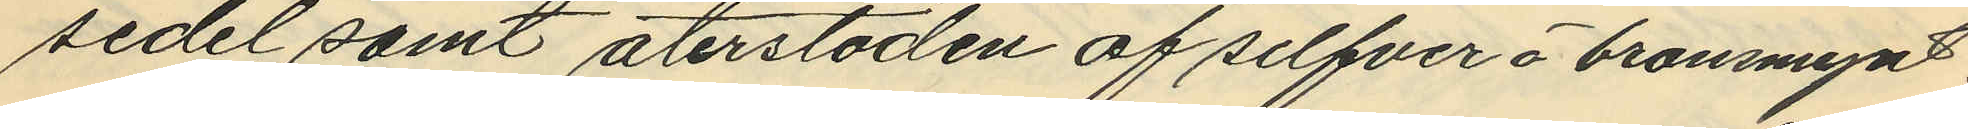sedel samt återstoden af silfver å bronsmynt
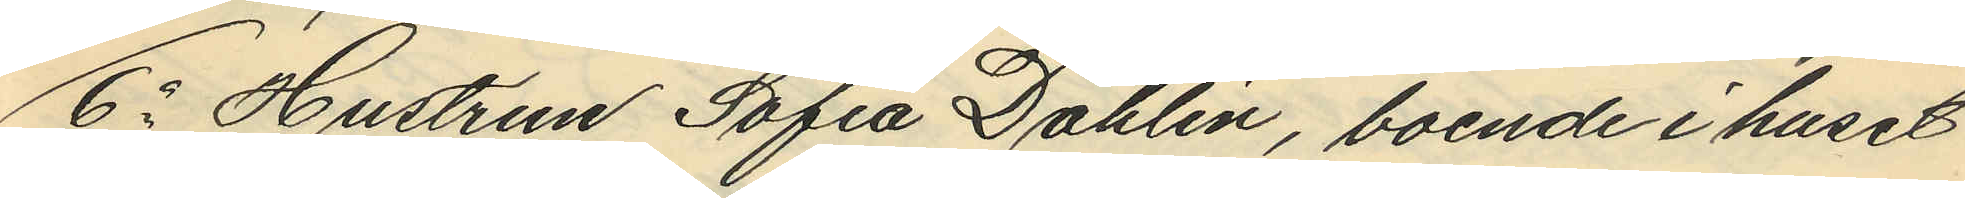6o Hustrun Sofia Dahlin, boende i huset
